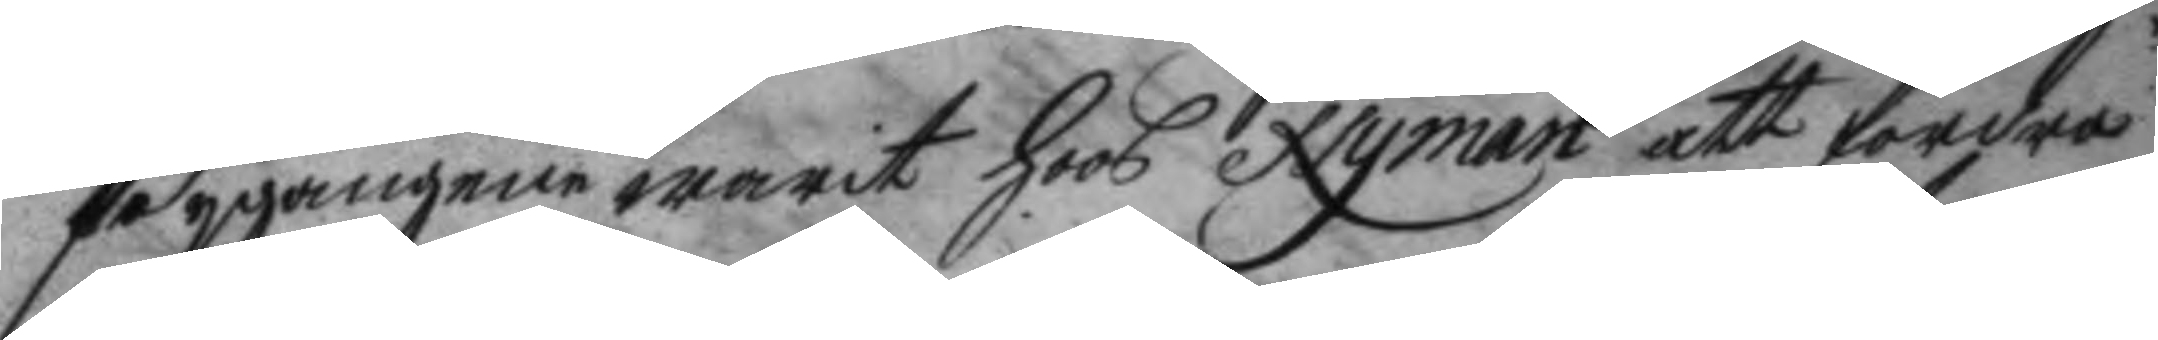Bygangene warit hoos Nyman att fordra
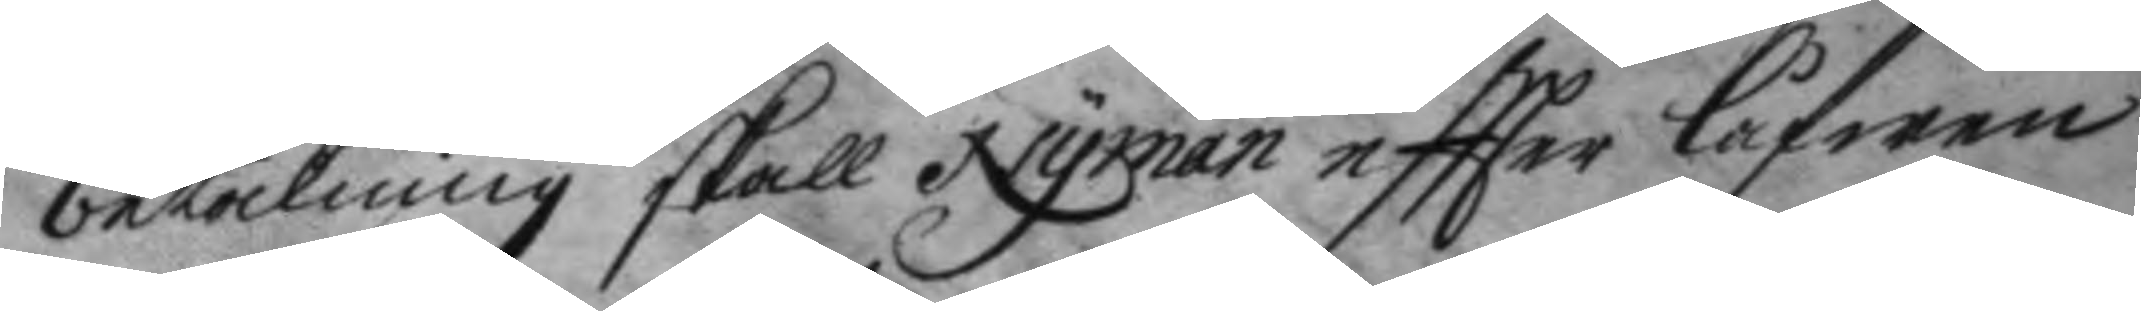betalning skall Nyman eftter låfwen
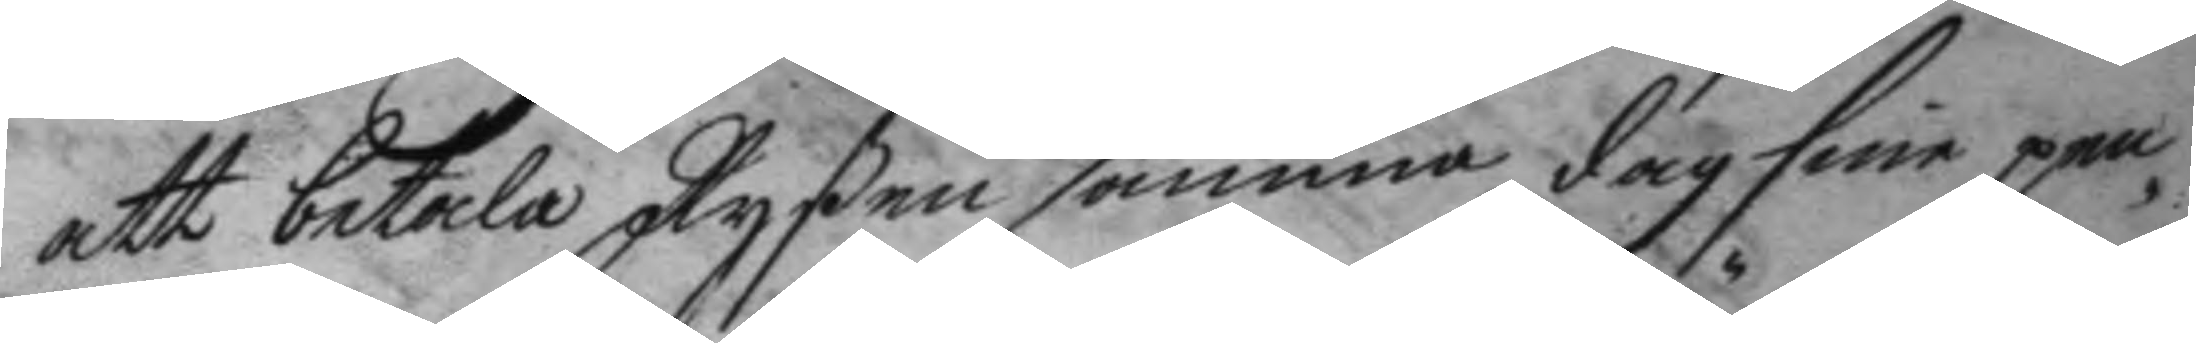att betala Ryßen samma dag sine pen¬
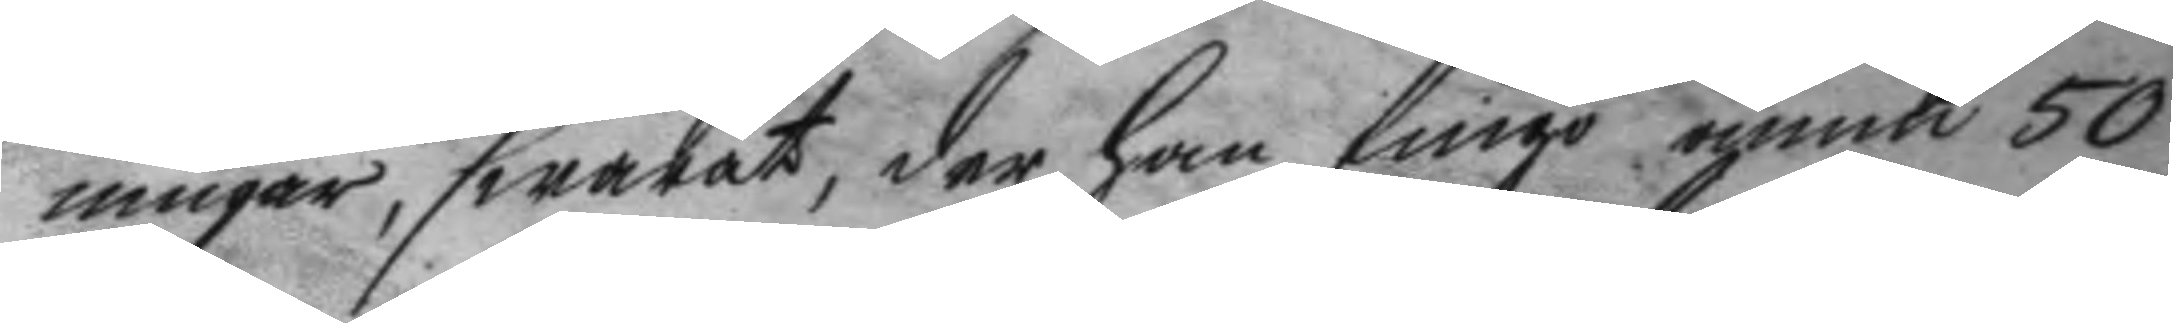ningat, swarat, der han fingo ännu 50
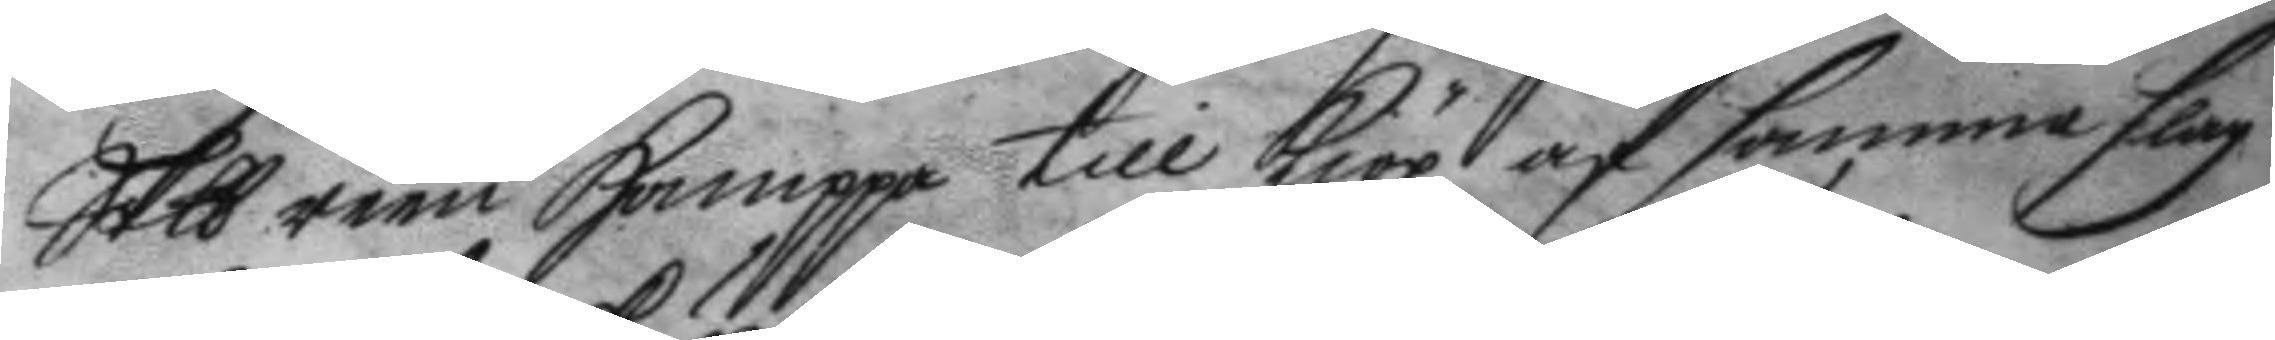Skp reen Hampa till kiöp af samma slag
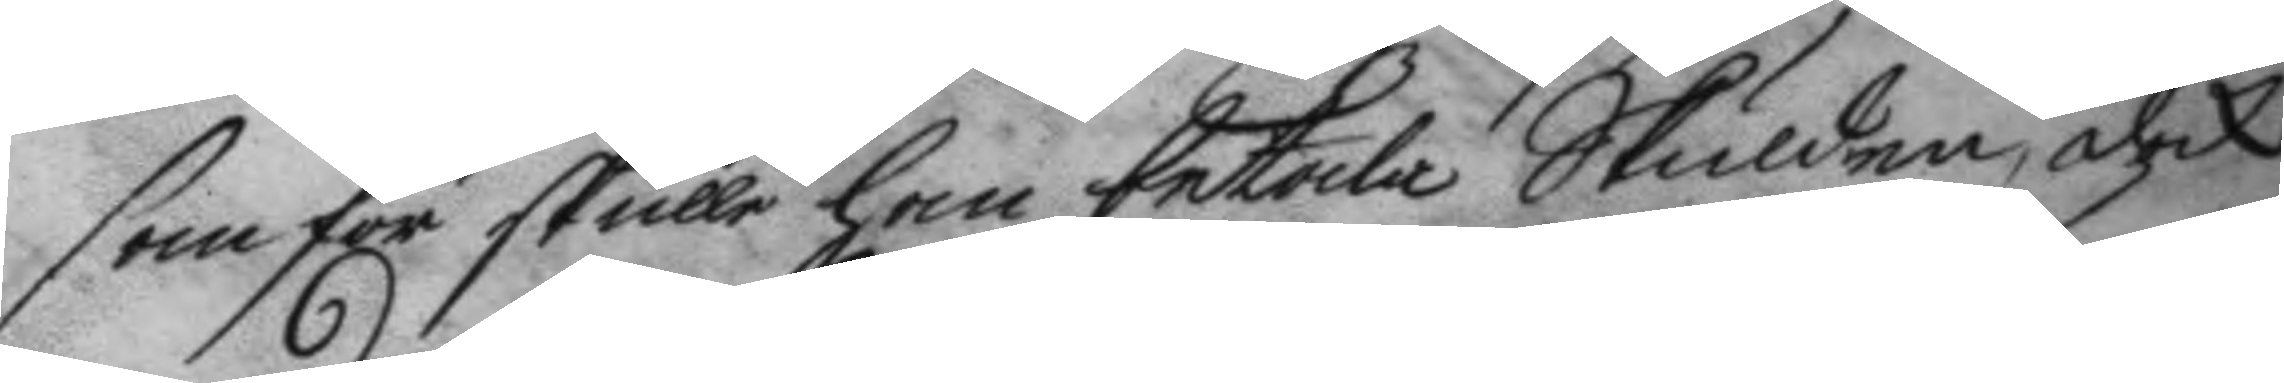som för skulle han betala Skulden, dock
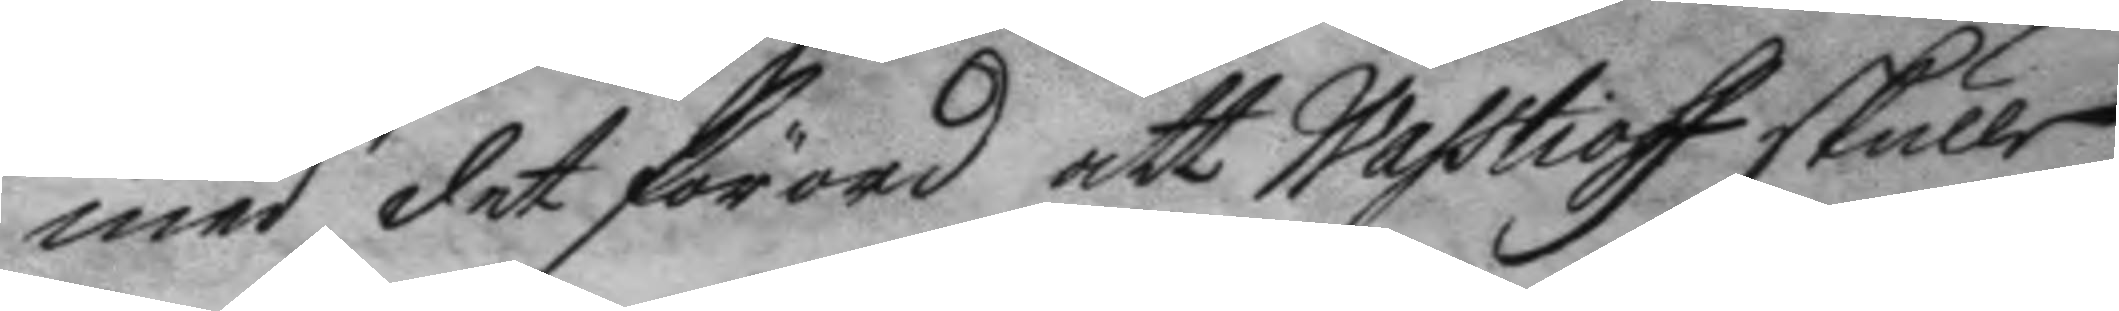med det förord att Wasstioff skulle
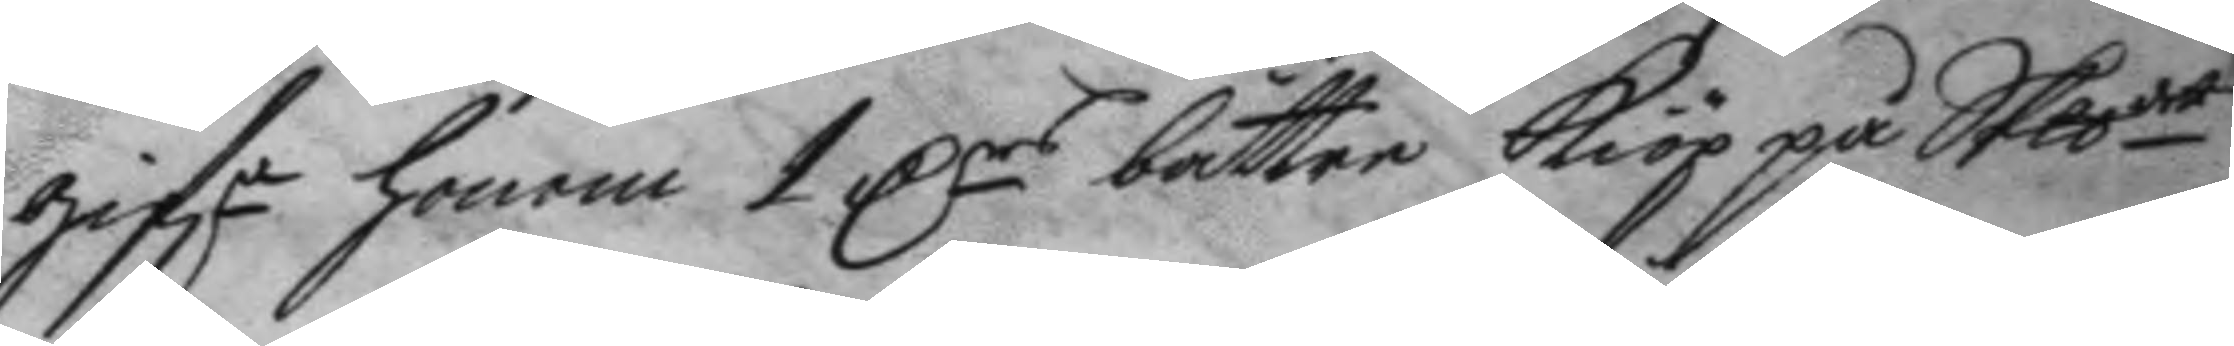gif.e honom 1 Drs bättre kiöp på Skpdet
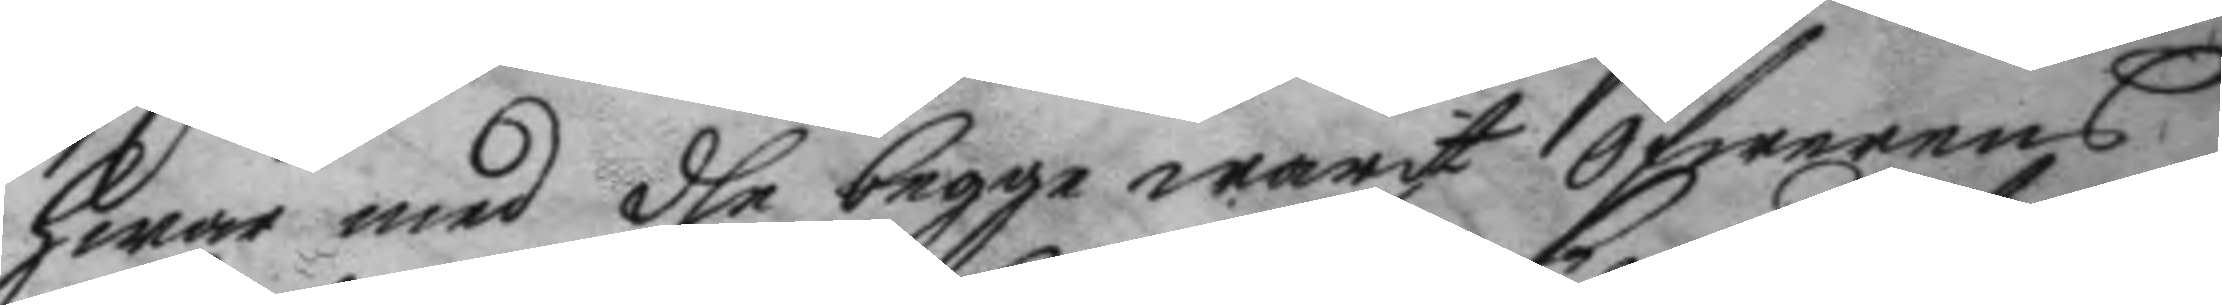hwar med dhe begge warit öfwernes
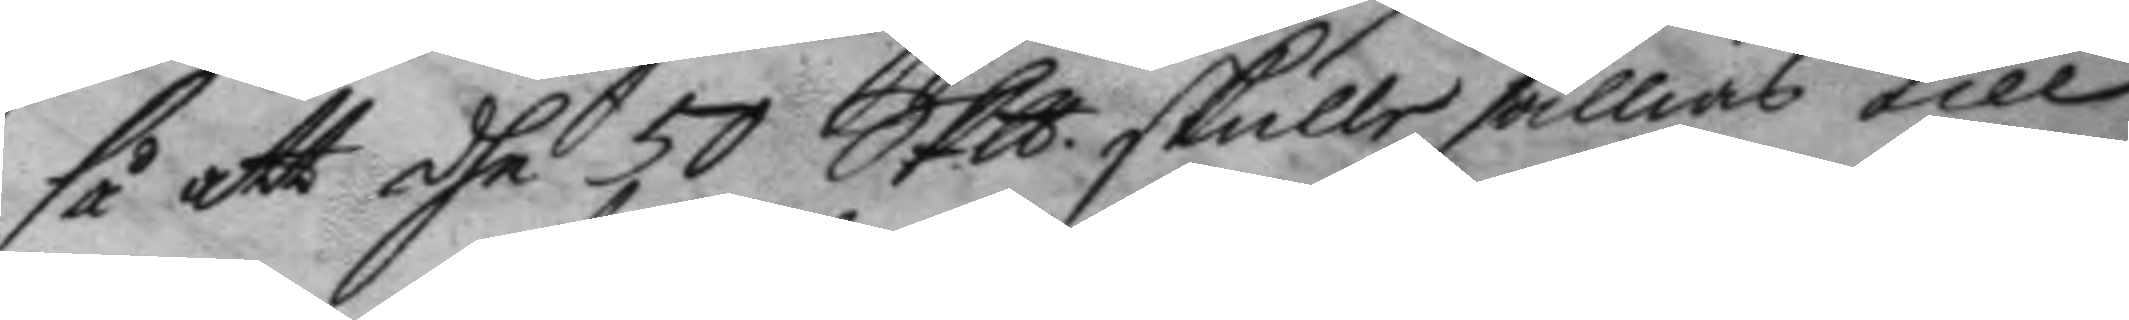så att dhe 50 Skp. skulle sällias till
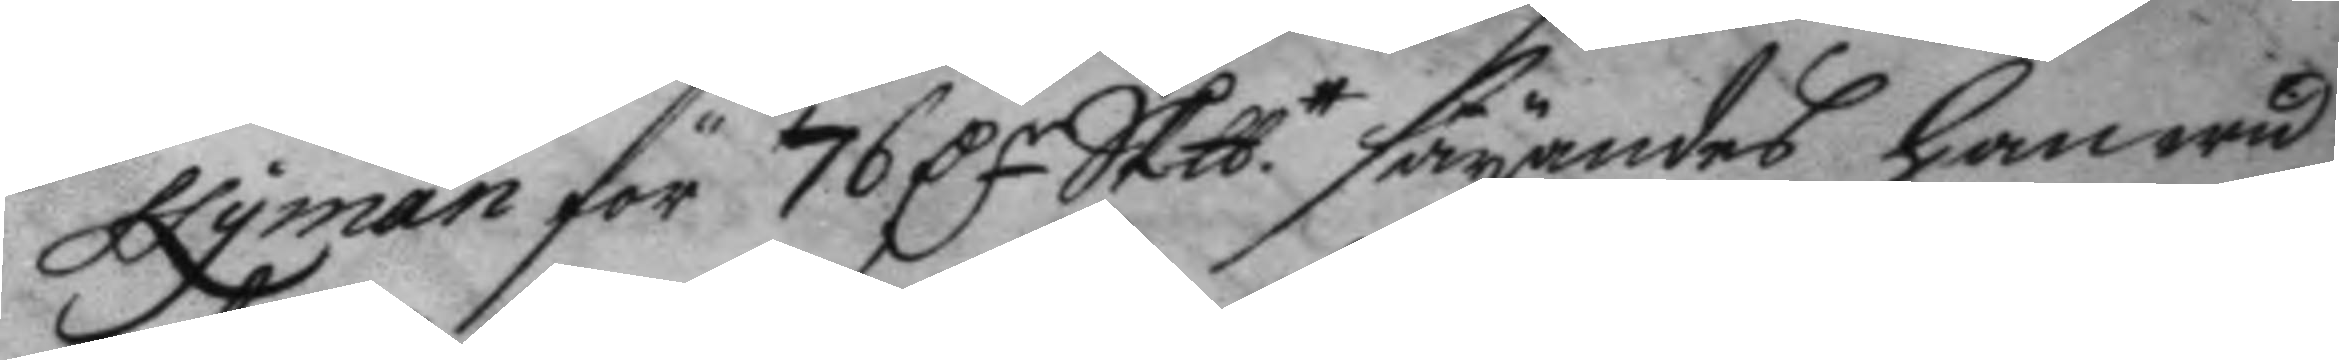Nyman för 76 Dr Sklbtt säyandes han wid
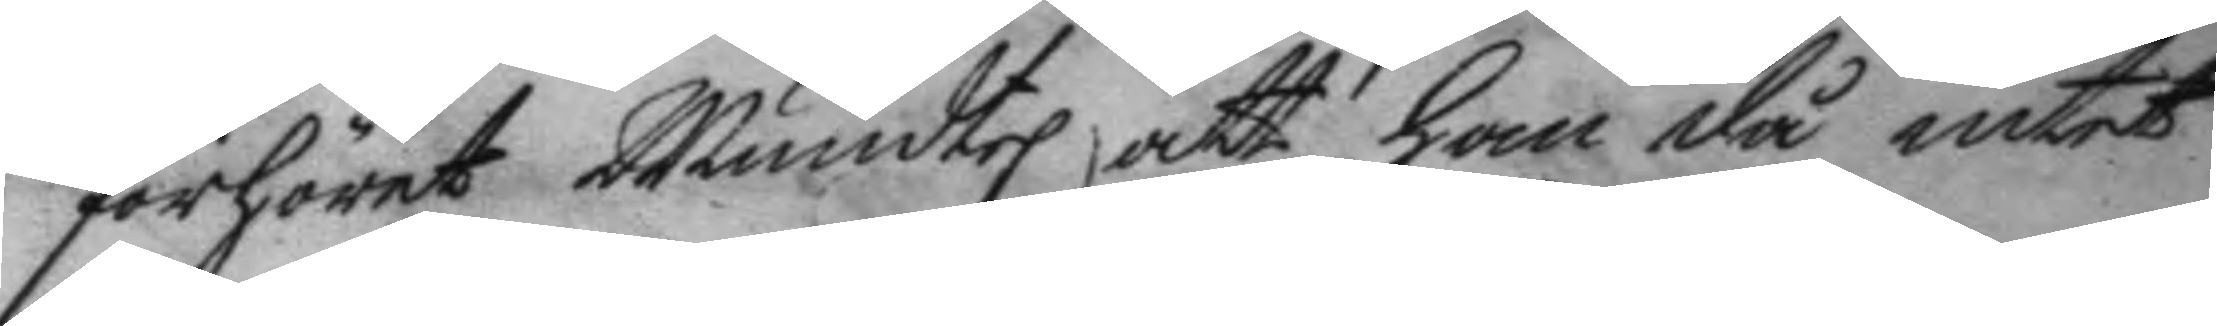förhöret Muntel att han då intet
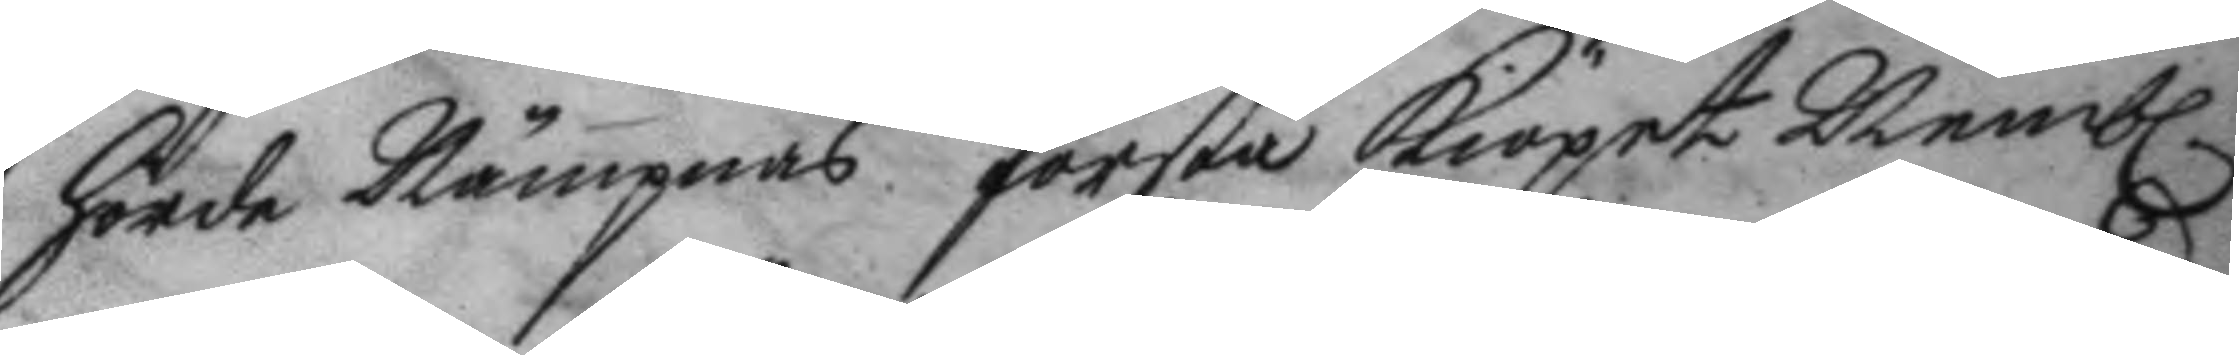hörde Nymans första kiöpet Nemb.
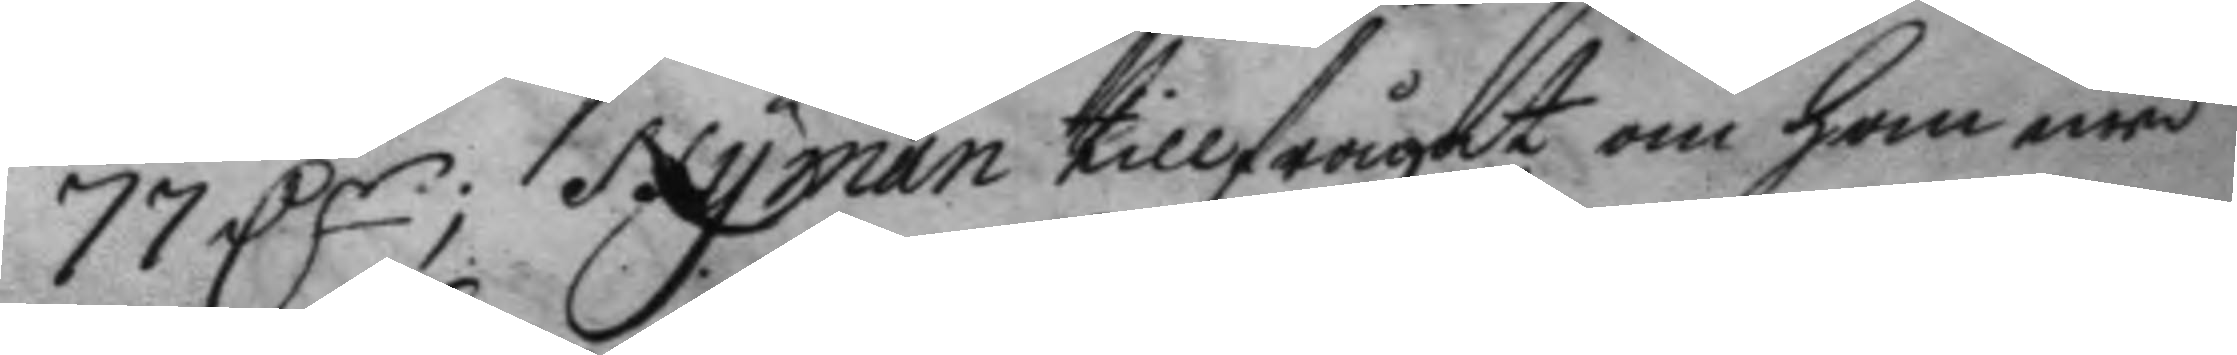77 Dr; Nyman tillfrågat om han med
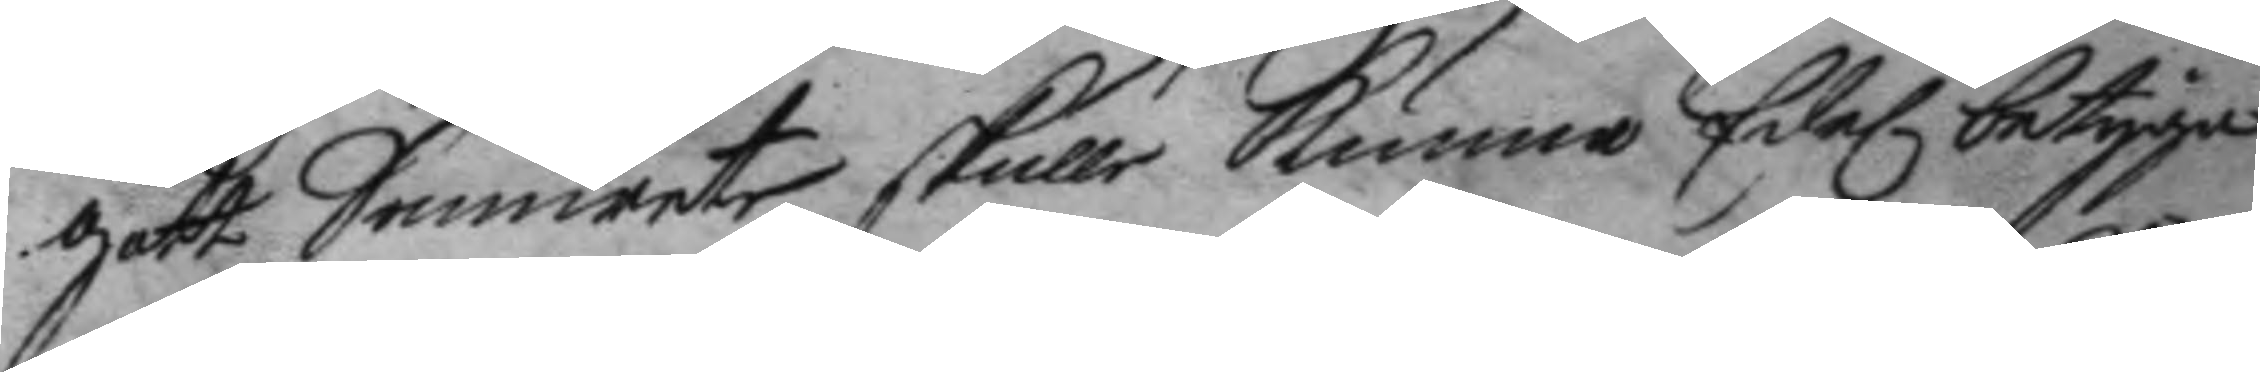gott Samwet skulle kunna Edel betyga
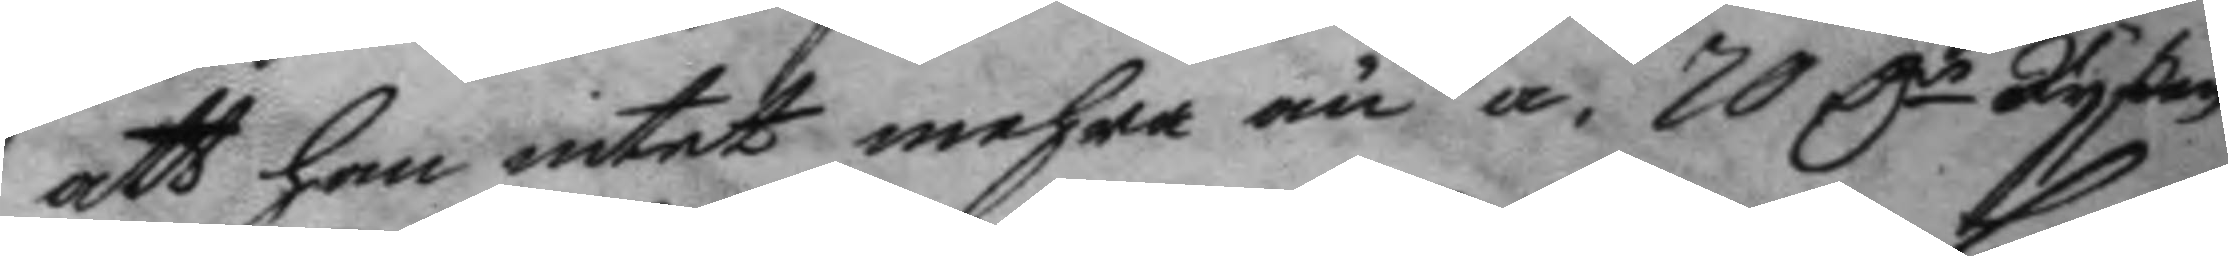att han intet mehra än a 70 Dr Ryßen
